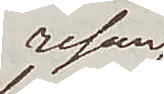resan
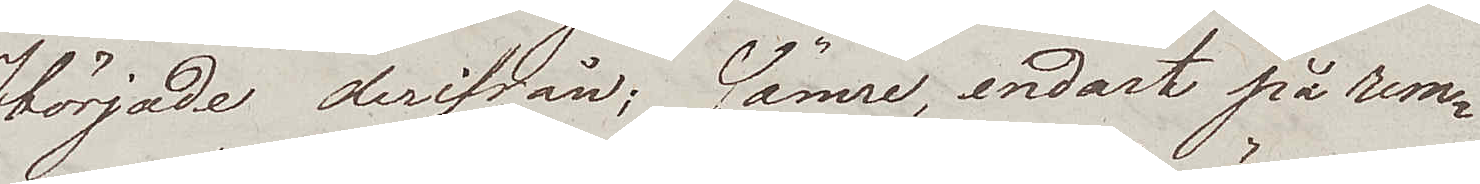började derifrån; sämre, endast på rem¬
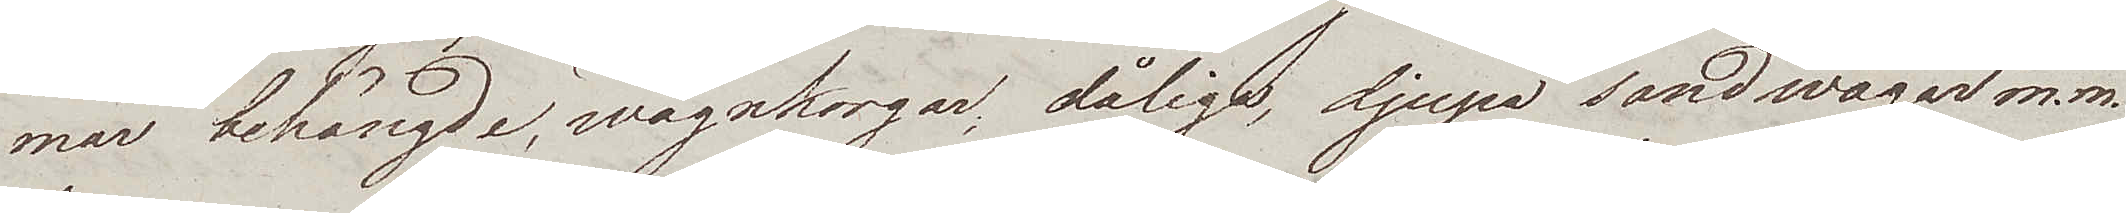mar behängde, wagnkorgar; dåliga, djupa sandwägar m.m.
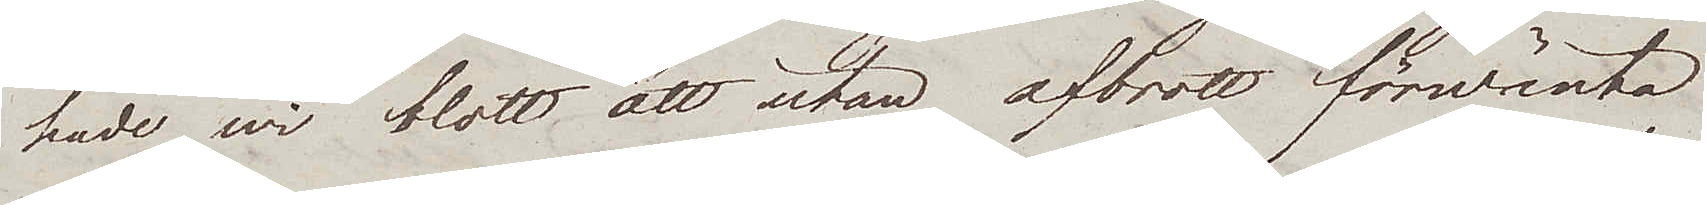hade wi blott att utan afbrott förwänta.
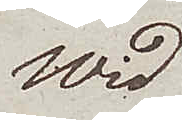Wid
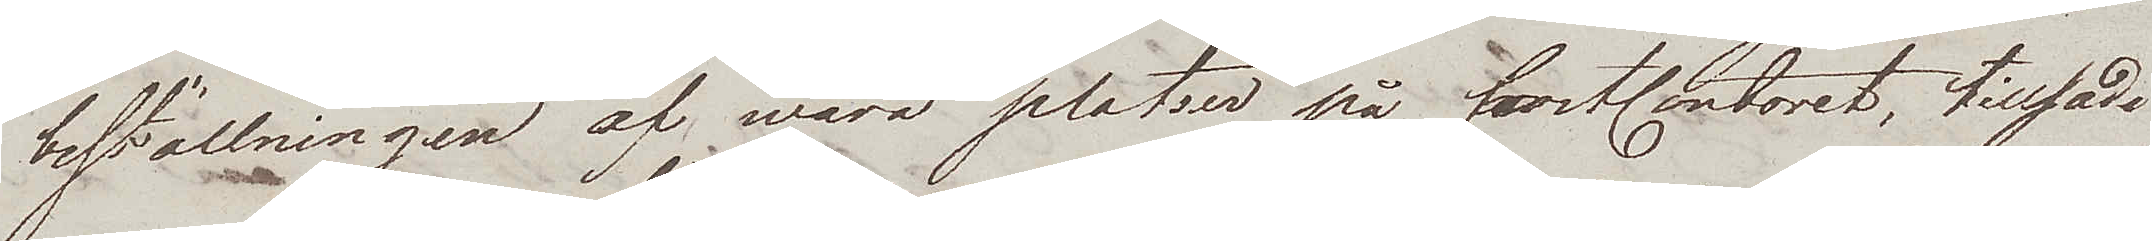beställningen af wåra platser på postkontoret, tillsade
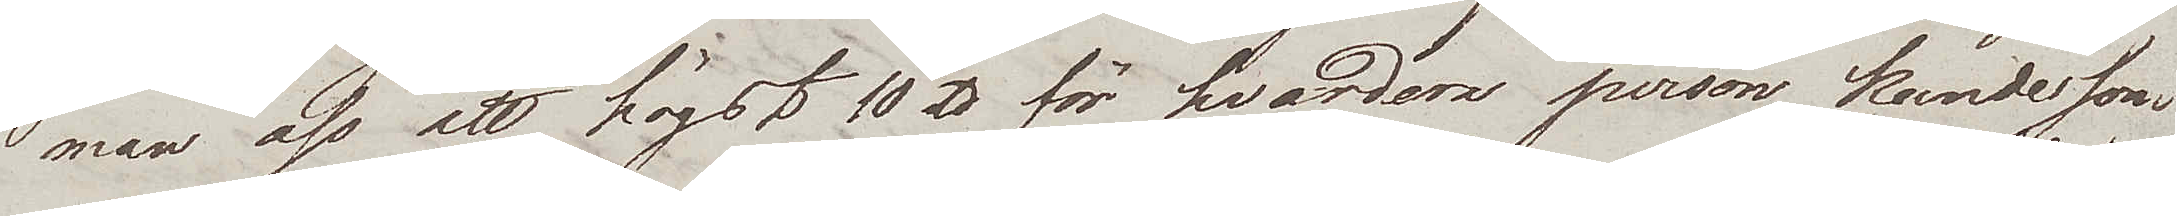man oss att högst 10 ℔ för hvardera person kunde som
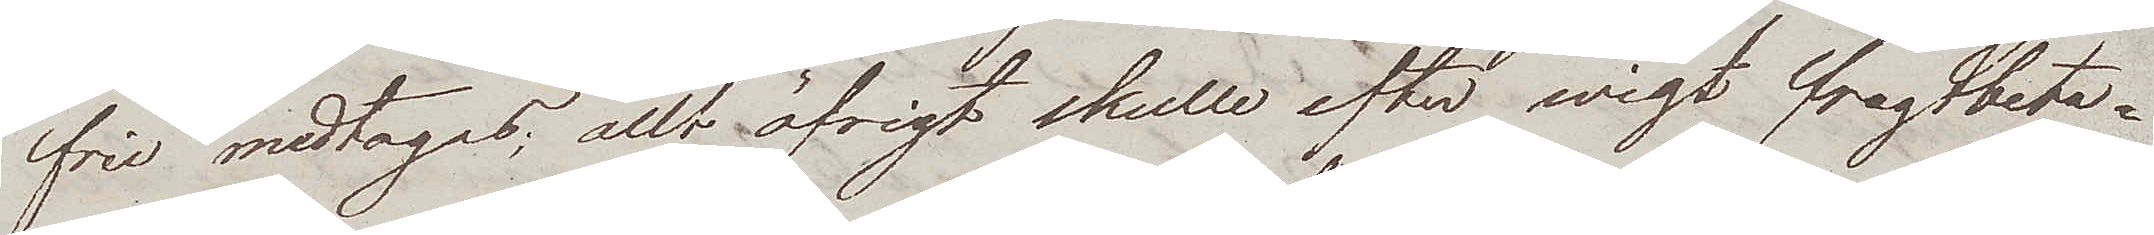fria medtagas; allt öfrigt skulle efter wigt fragtbeta¬
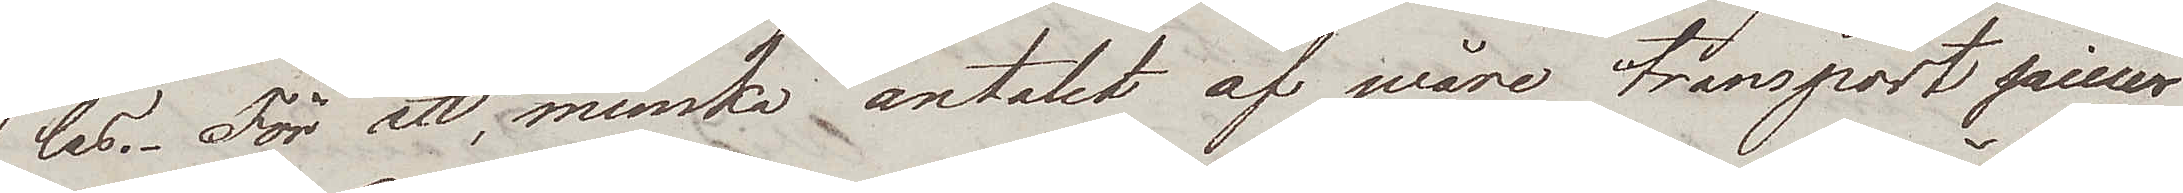las. För att, minska antalet af wåre transportpiecer
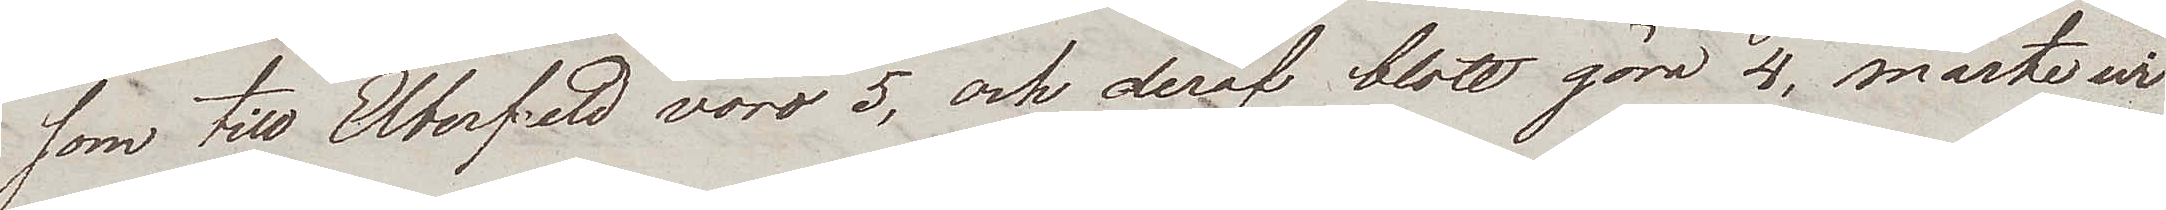som till Elberfeld voro 5, och deraf blott göra 4, måste wi
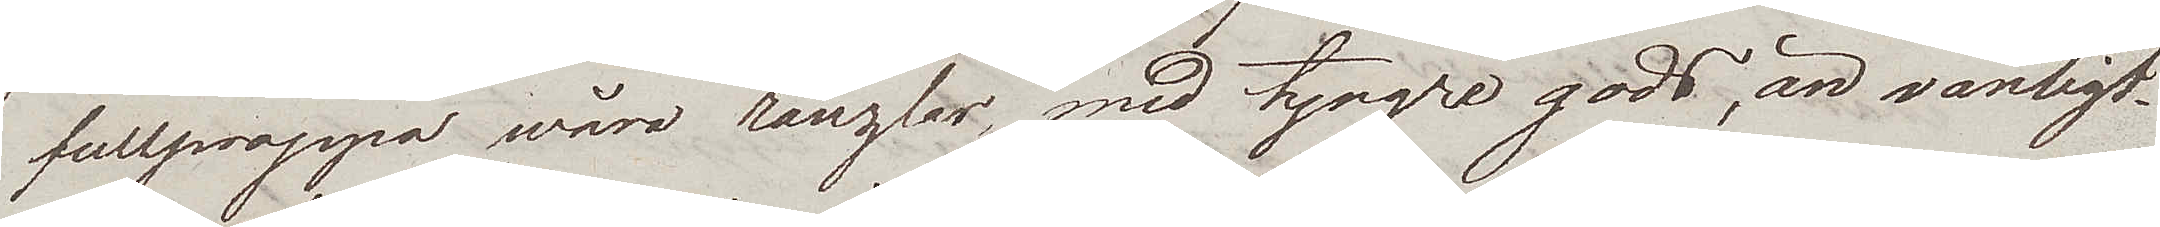fullproppa wåra ränzlar med tyngre gods, än vanligt.
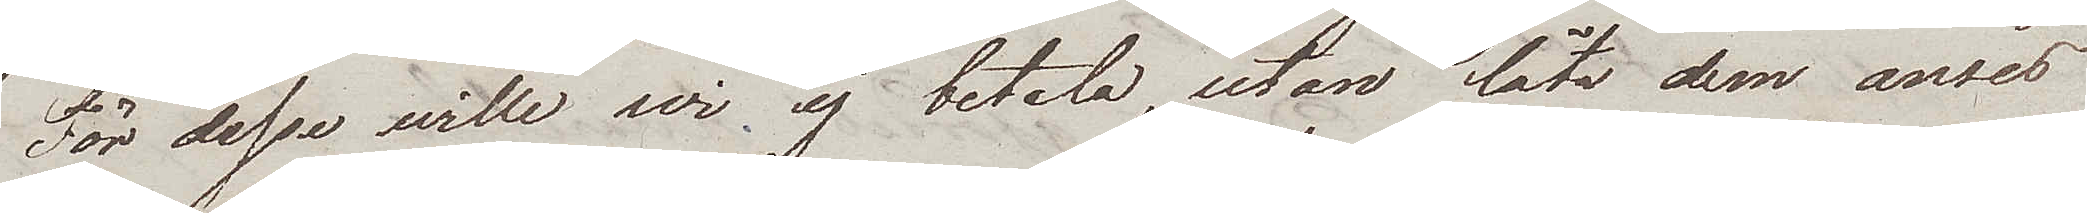För desse wille wi ej betala, utan låta dem anses
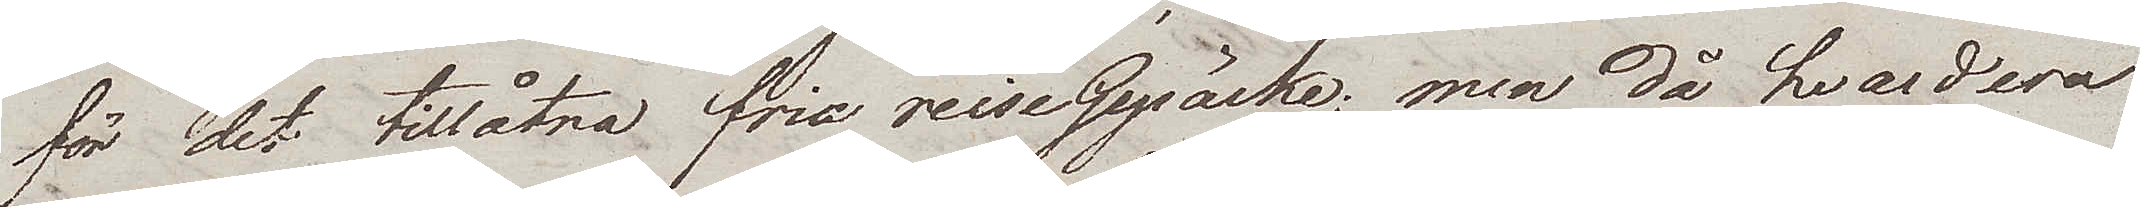för det tillåtna fria reiseGepäcke; men då hvardera
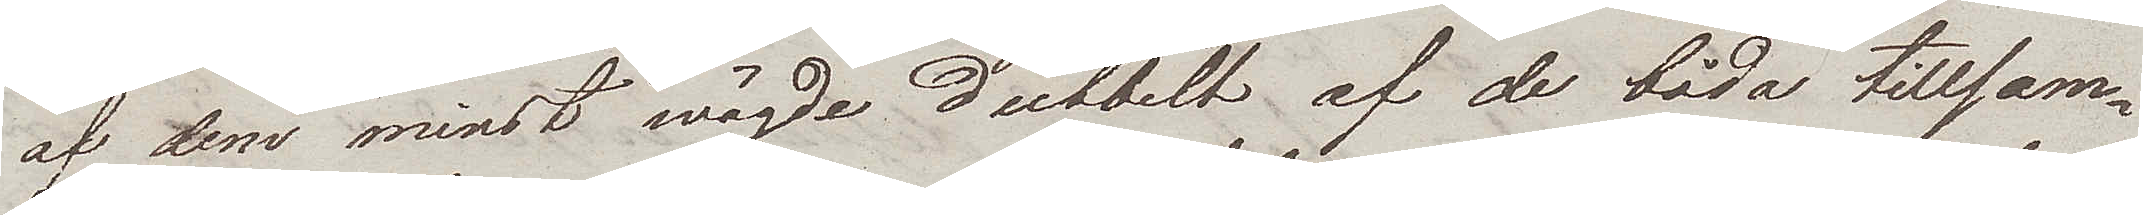af dem minst wägde dubbelt af de båda tillsam¬
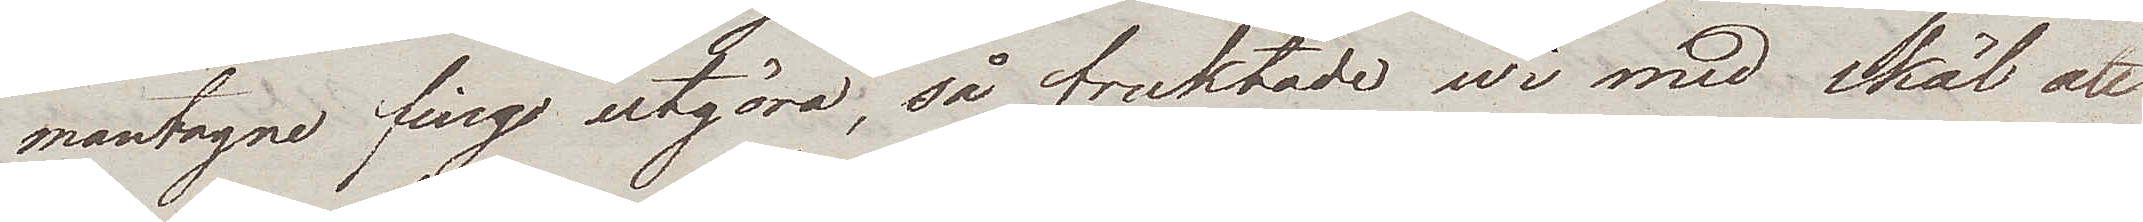mantagne fingo utgöra, så fruktade wi med skäl att
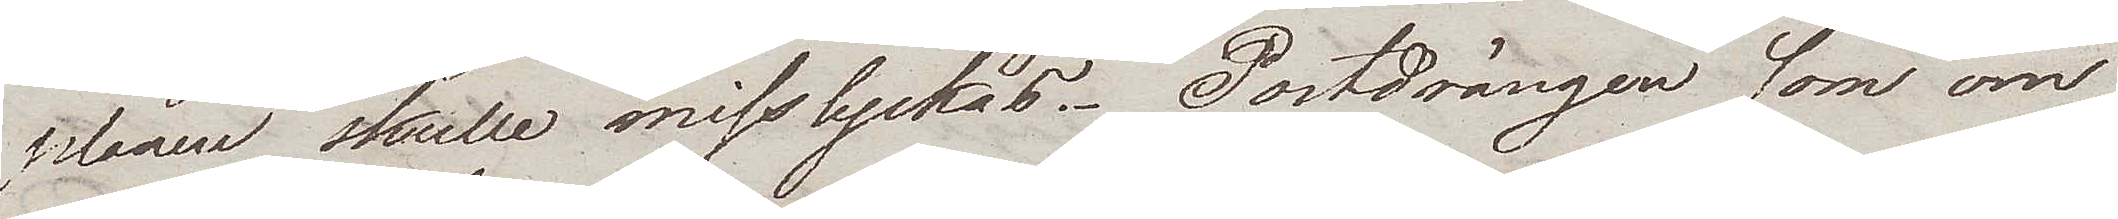planen skulle misslyckas. Postdrängen som om
